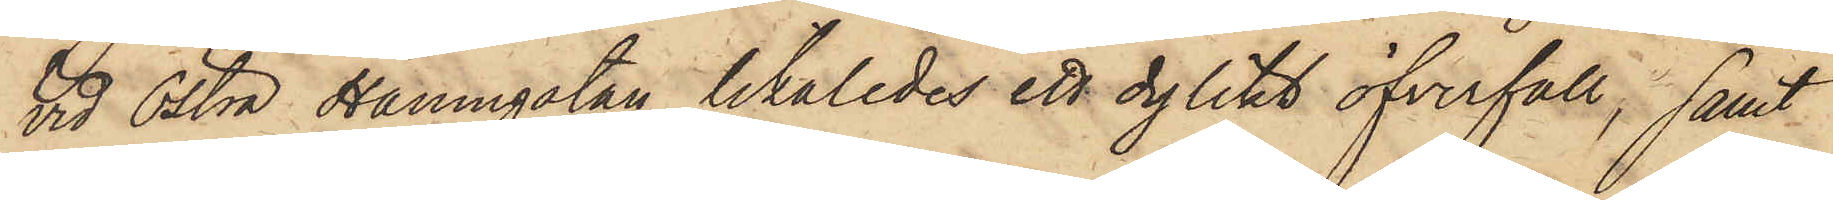vid Östra Hamngatan likaledes ett dylikt öfverfall; samt
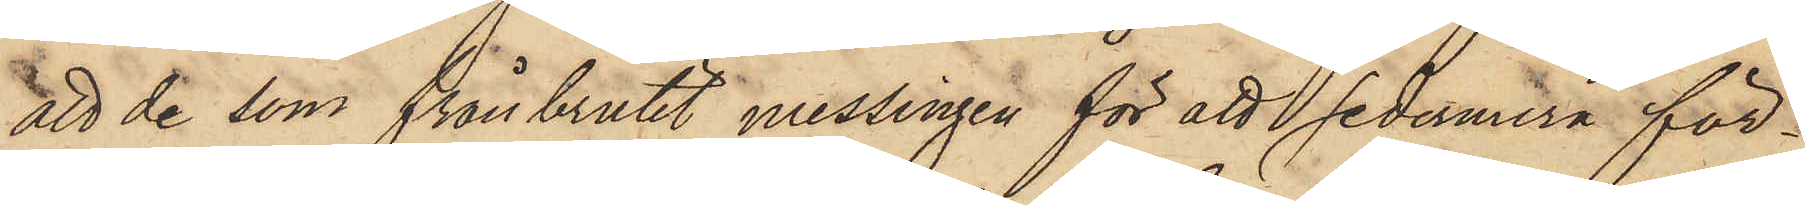att de som frånbrutit messingen för att sedermera för¬
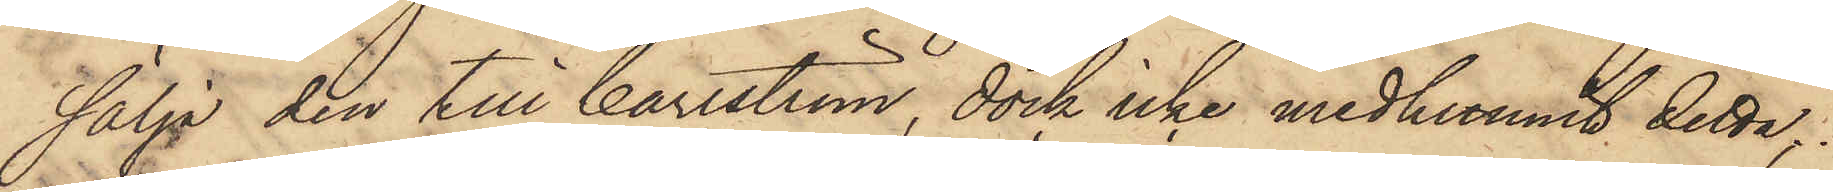sälja den till Carlström, dock icke medhunnit detta;
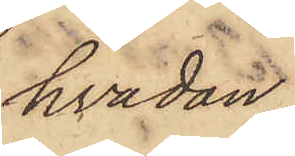hvadan
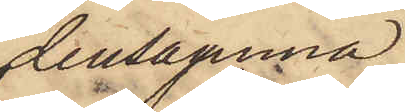densamma
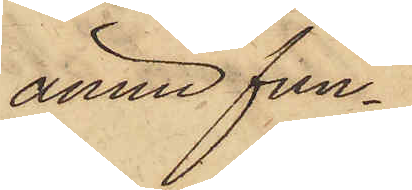ännu fun¬
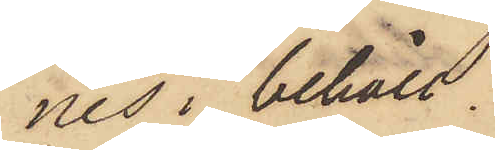nes i behåll.
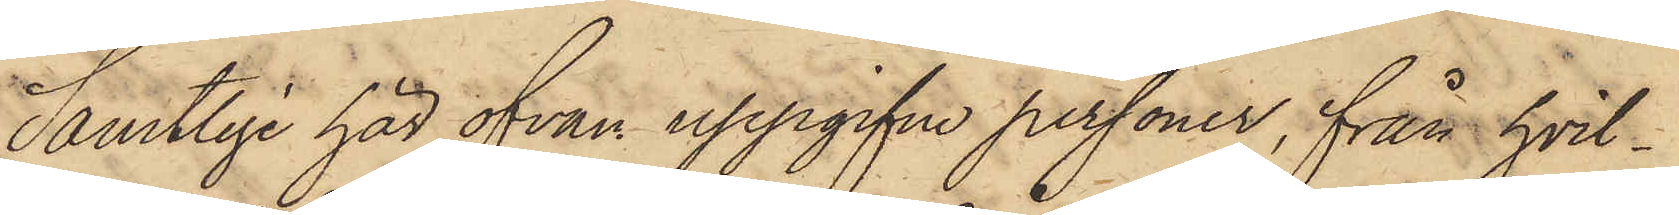Samtlige här ofvan uppgifne personer, från hvil¬
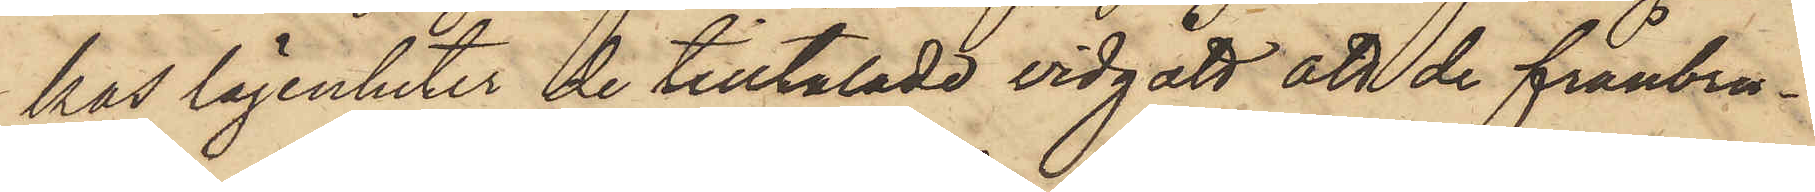kas lägenheter de tilltalade vidgått att de frånbru¬
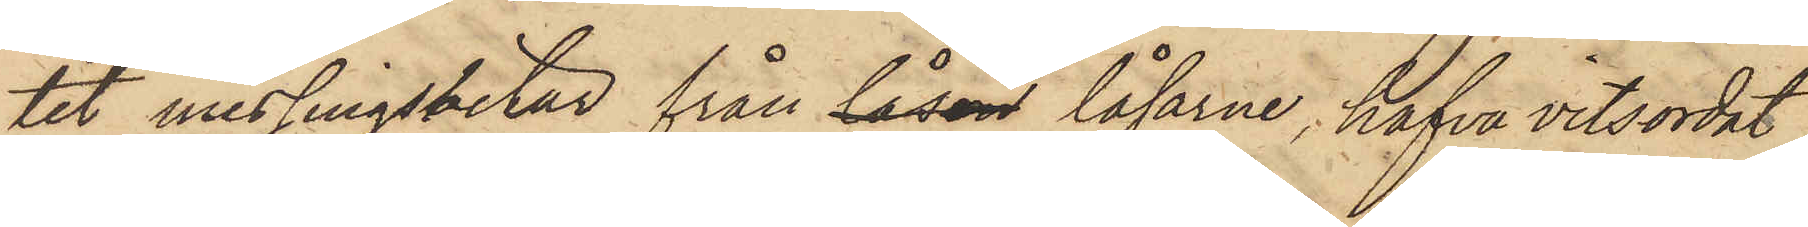tit messingsbitar från låsen låsarne, hafva vitsordat
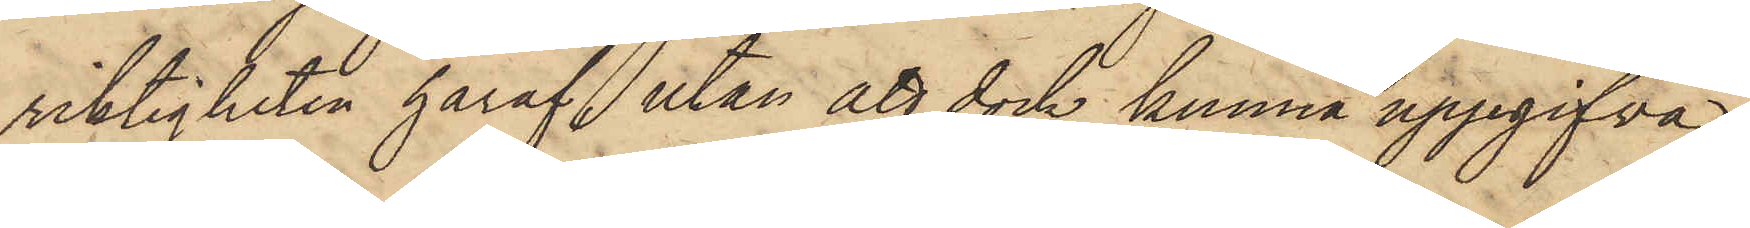riktigheten häraf, utan att dock kunna uppgifva
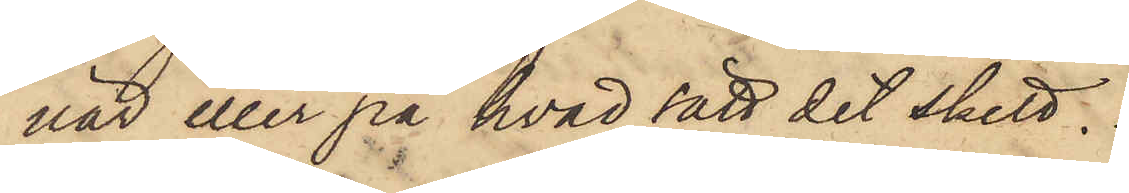när eller på hvad sätt det skett.
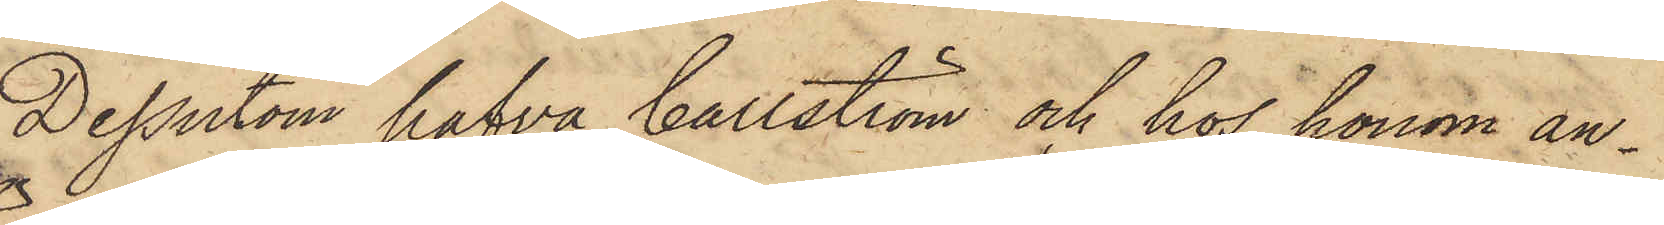Dessutom hafva Carlström och hos honom an¬
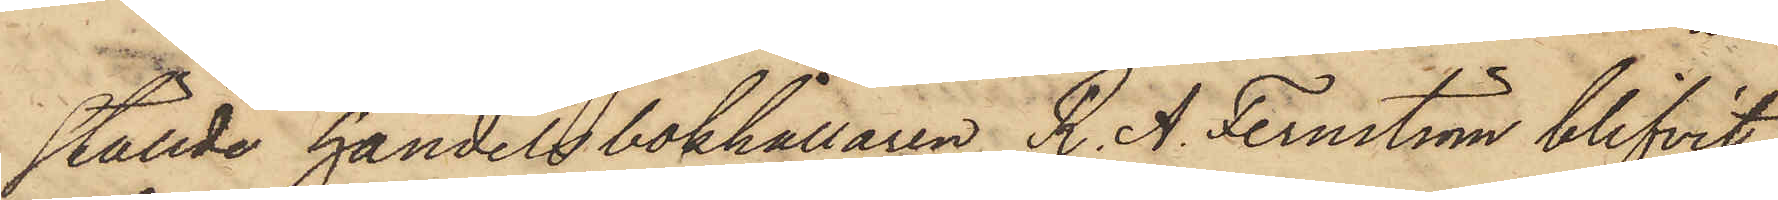ställde handelsbokhållaren R. A. Fernström blifvit
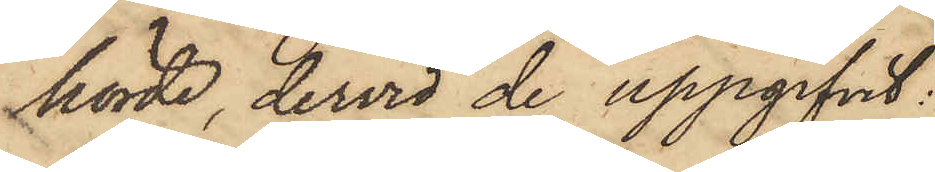hörde, dervid de uppgifvit:
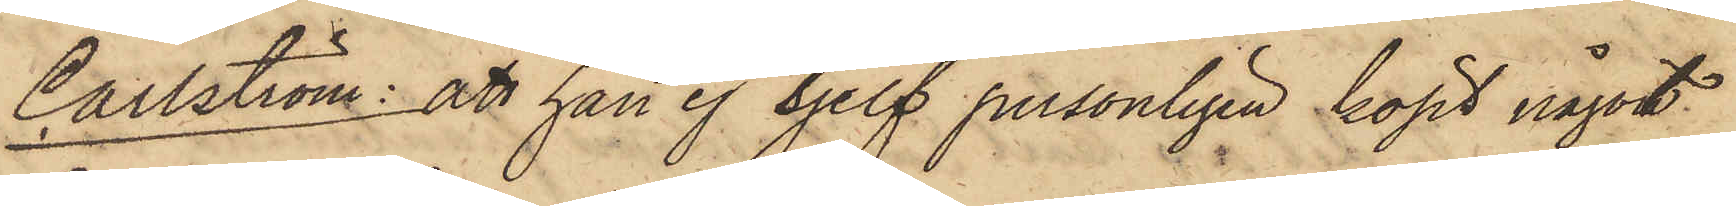Carlström: att han ej sjelf personligen köpt något
